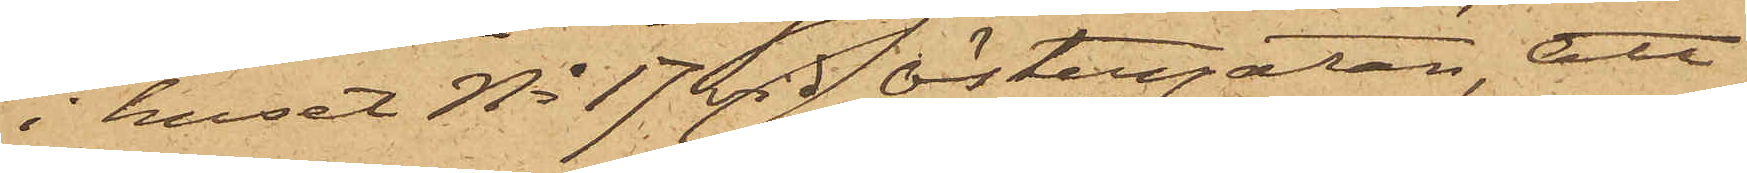i huset No 17 vid Östergatan, att
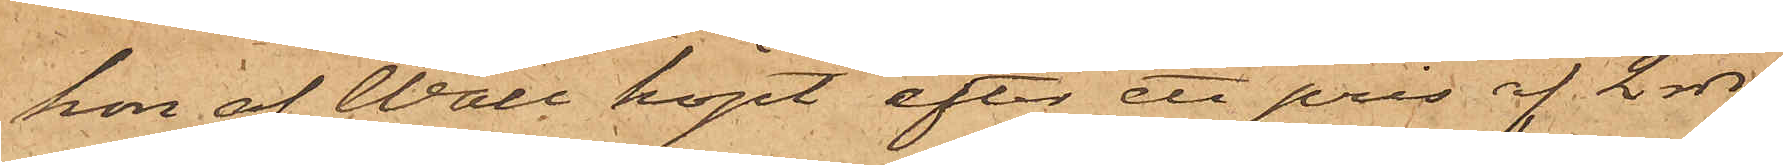hon af Wall köpt efter ett pris af 2 rdr
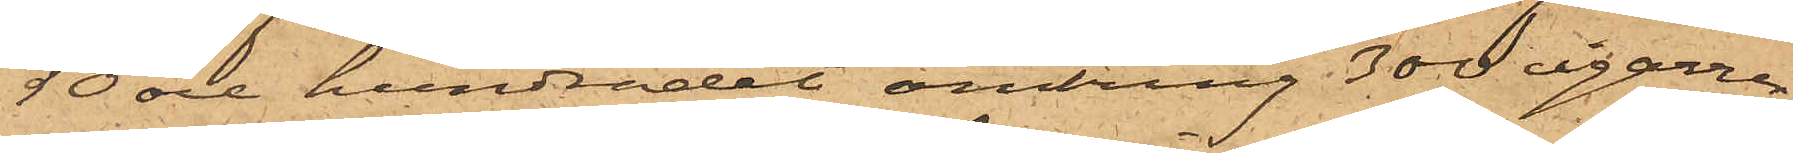50 öre hundradet omkring 300 cigarrer,
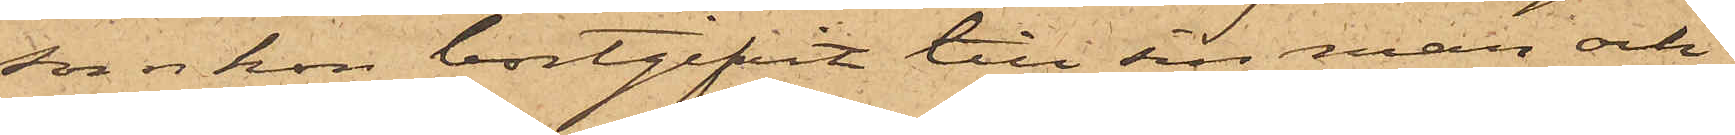som hon bortgifvit till sin man och
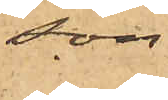son.
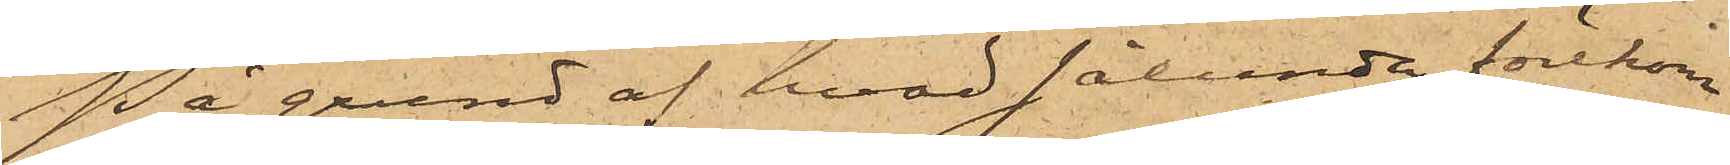På grund af hvad sålunda förekom¬
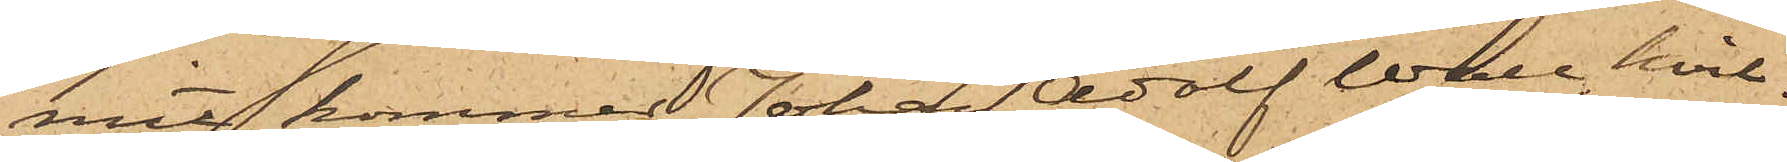mit, kommer Johan Adolf Wall, hvil¬
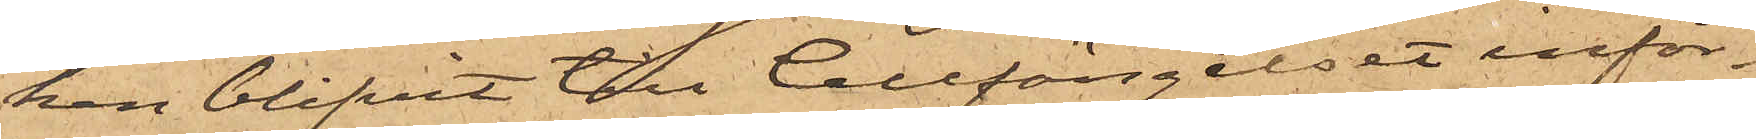ken blifvit till Cellfängelset inför¬
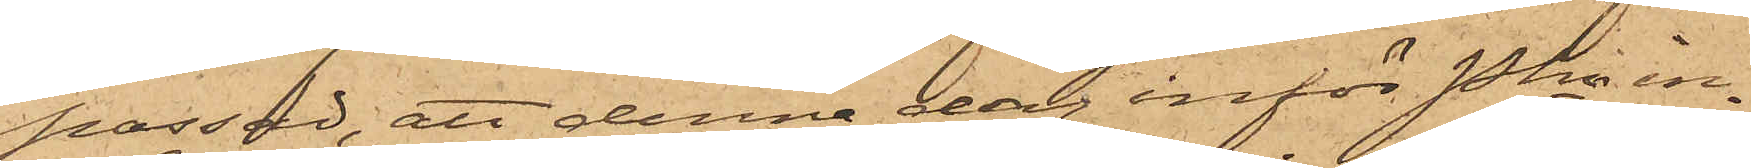passad, att denna dag inför Pkn in¬
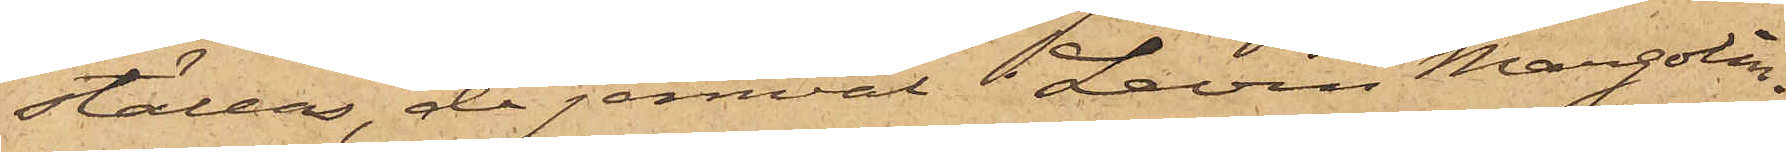ställas, då jemväl Levin Margolin¬
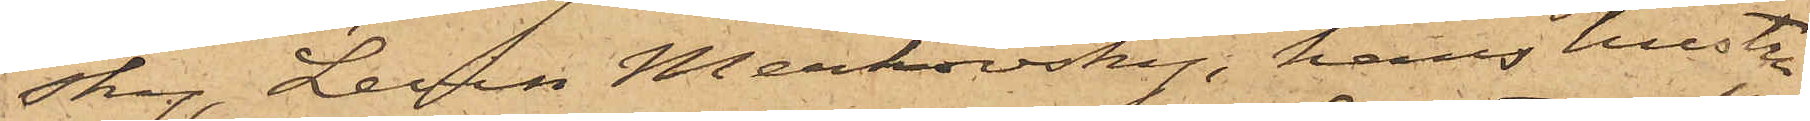sky, Levin Merkovsky, hans hustru
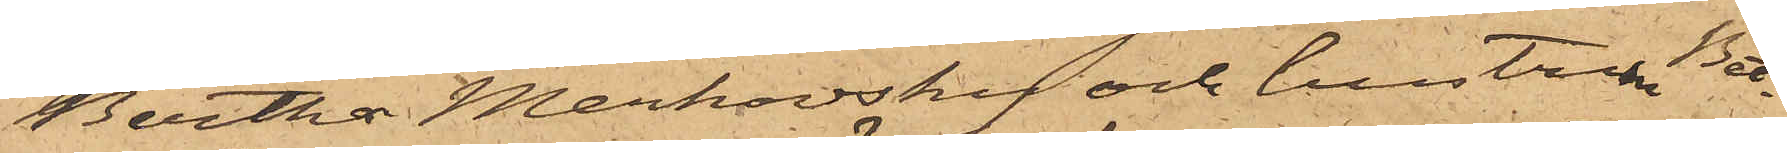Bertha Merkovsky och hustru Bet¬
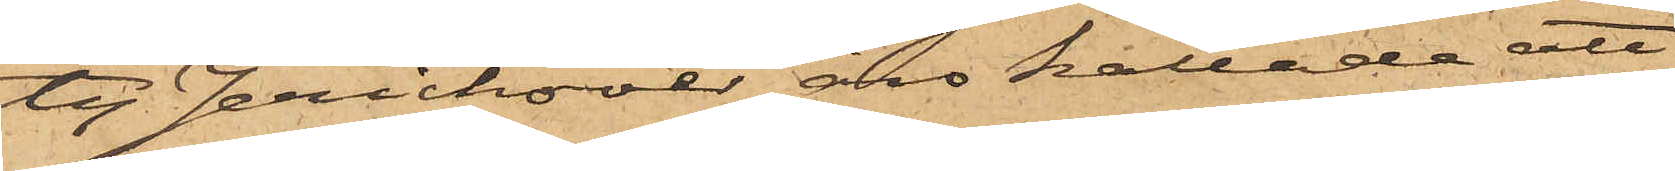ty Jerichover äro kallade att
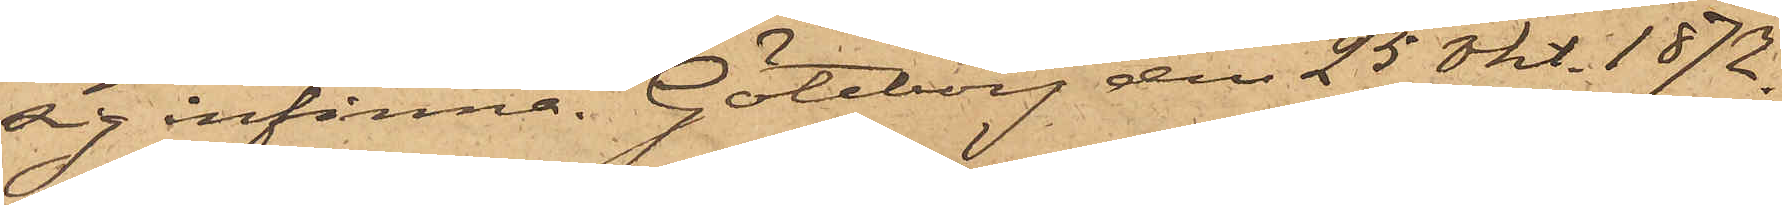sig infinna. Göteborg den 25 Okt. 1872.
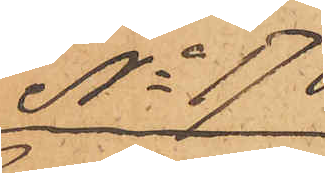No 178
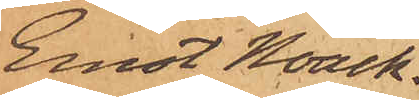Ernst Noach.
